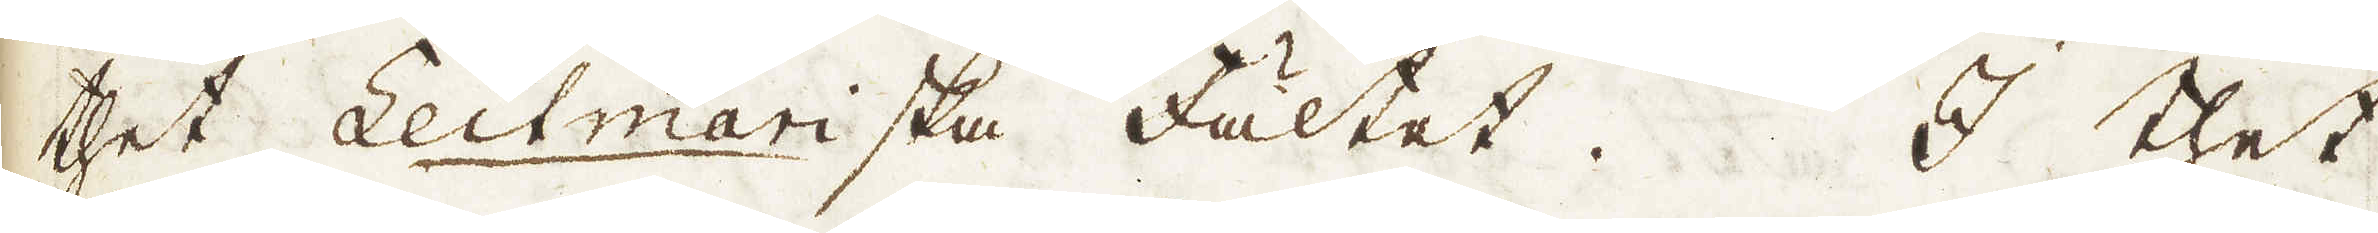thet Leitmariska Fältet. I thet
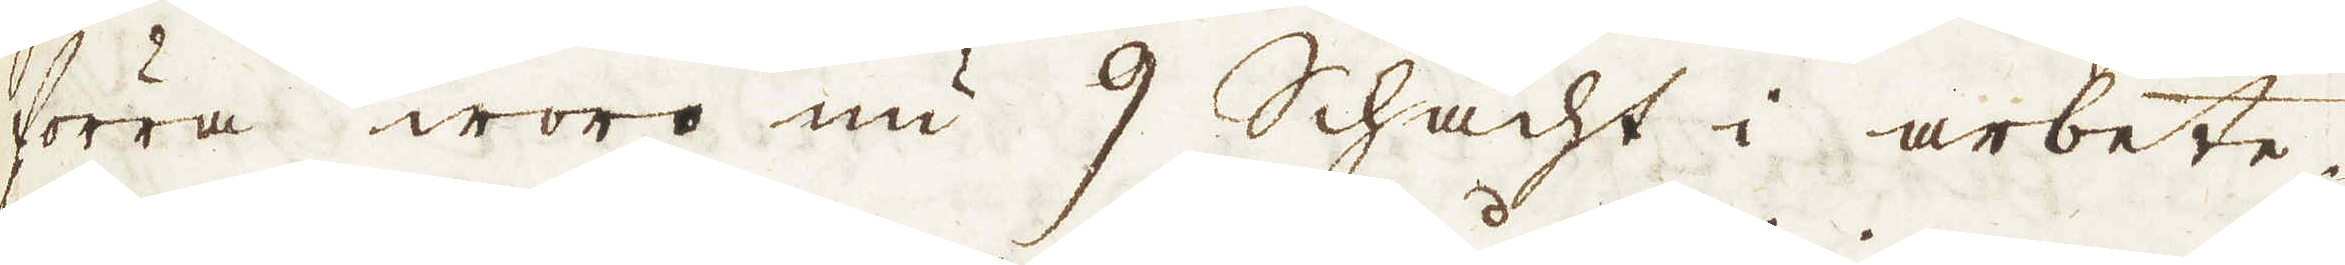förra woro nu 9 Schacht i arbete.
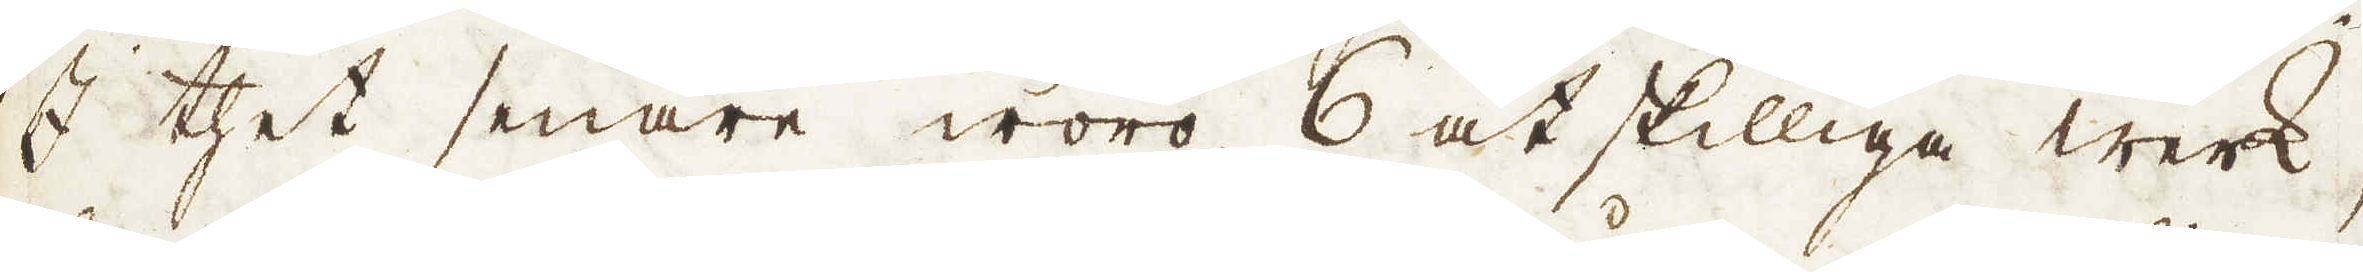I thet senare woro 6 åtskilliga werk;
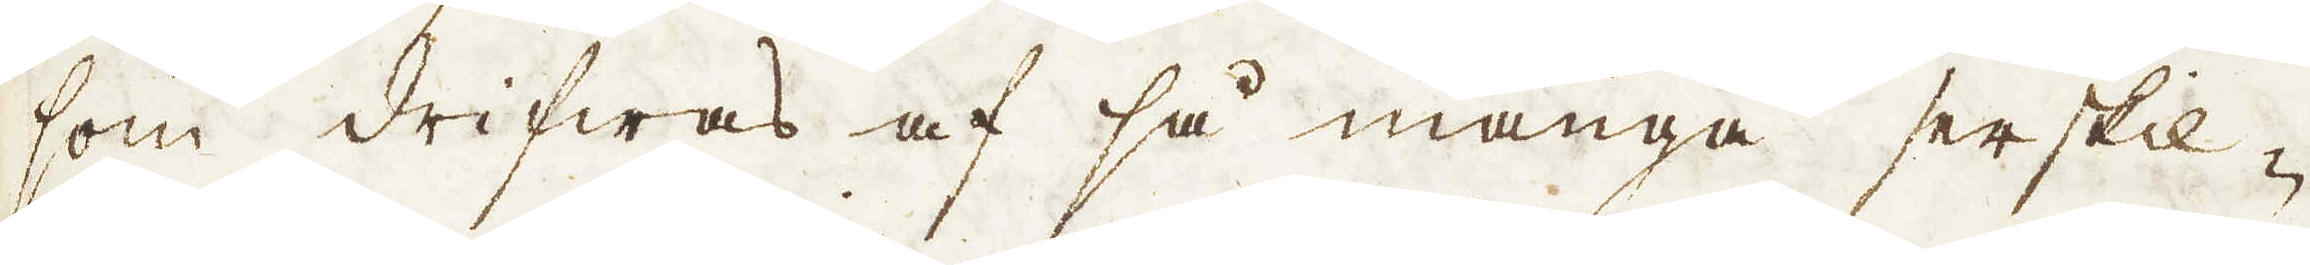som drifwas af så många serskil-
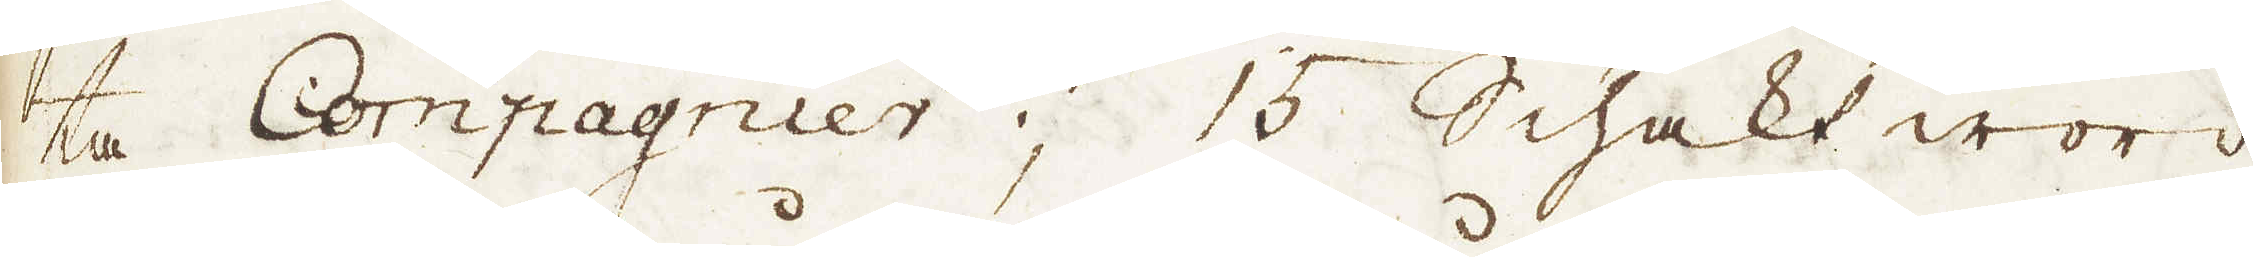ta Compagnier; 15 Schakt woro
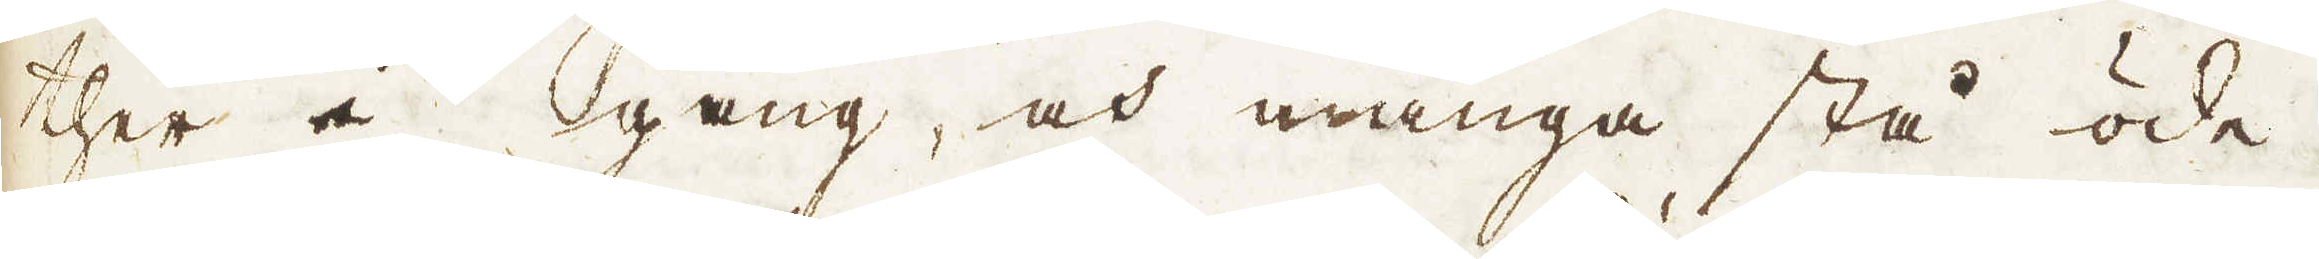ther i gång, och många stå öde.
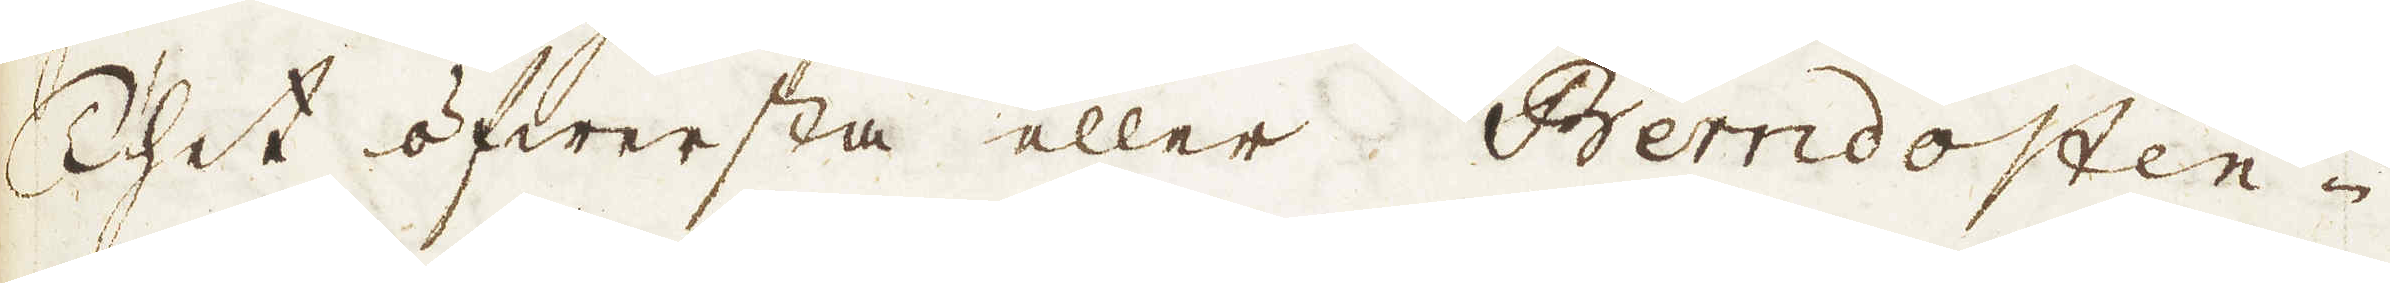Thet öfwersta eller Berndosten-
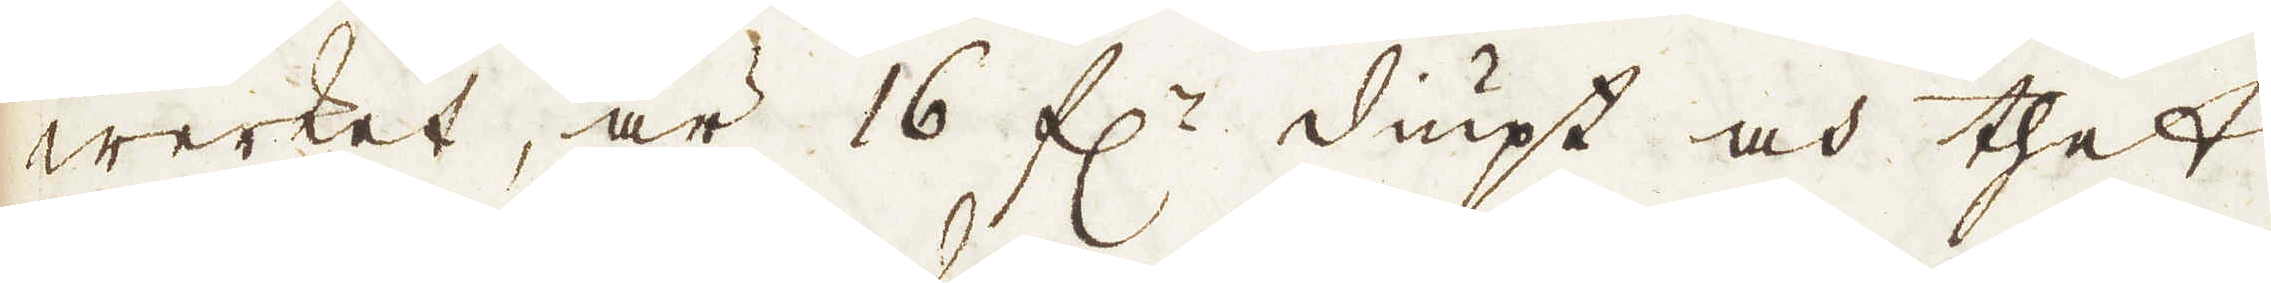werket, är 16 f:r diupt och thet
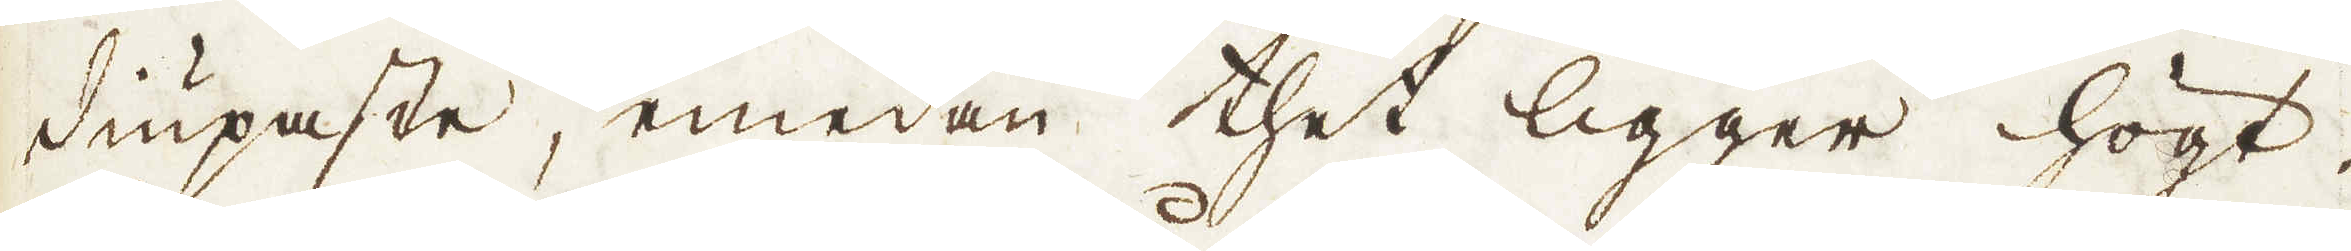diupaste, emedan thet ligger högt.
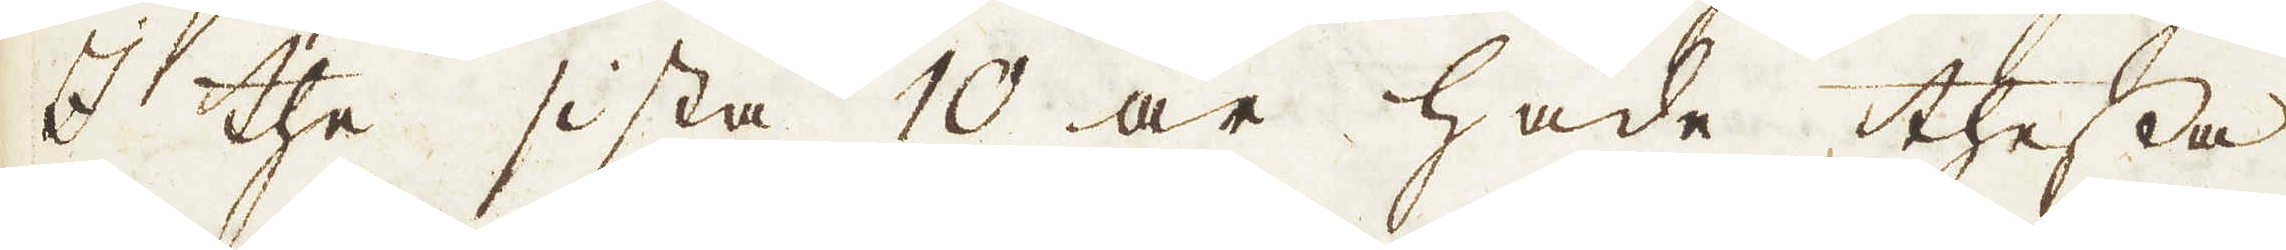I the sista 10 år hade thessa
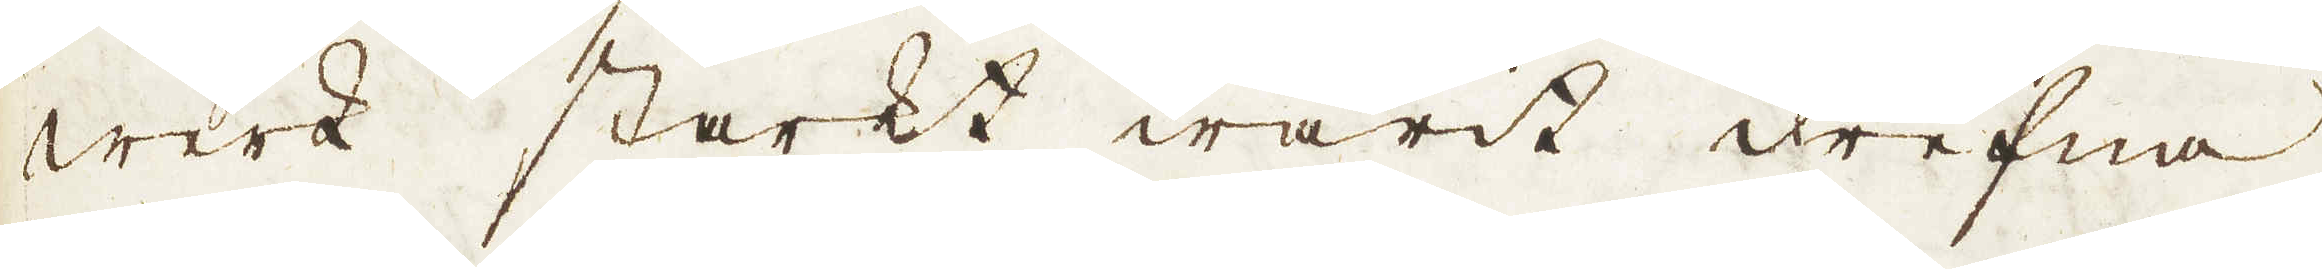werk starkt warit drefna.
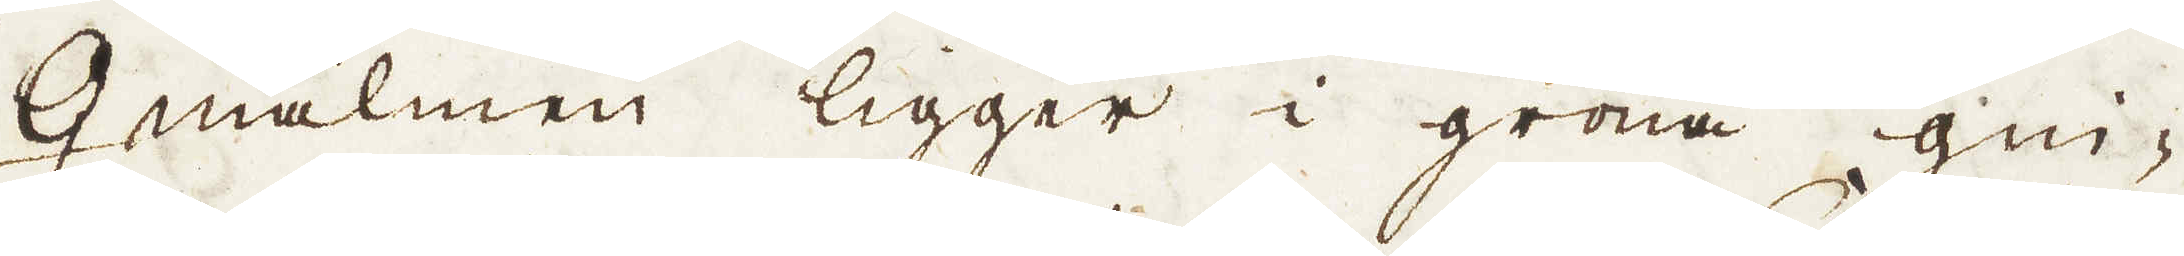♀ malmen ligger i gröna gni-
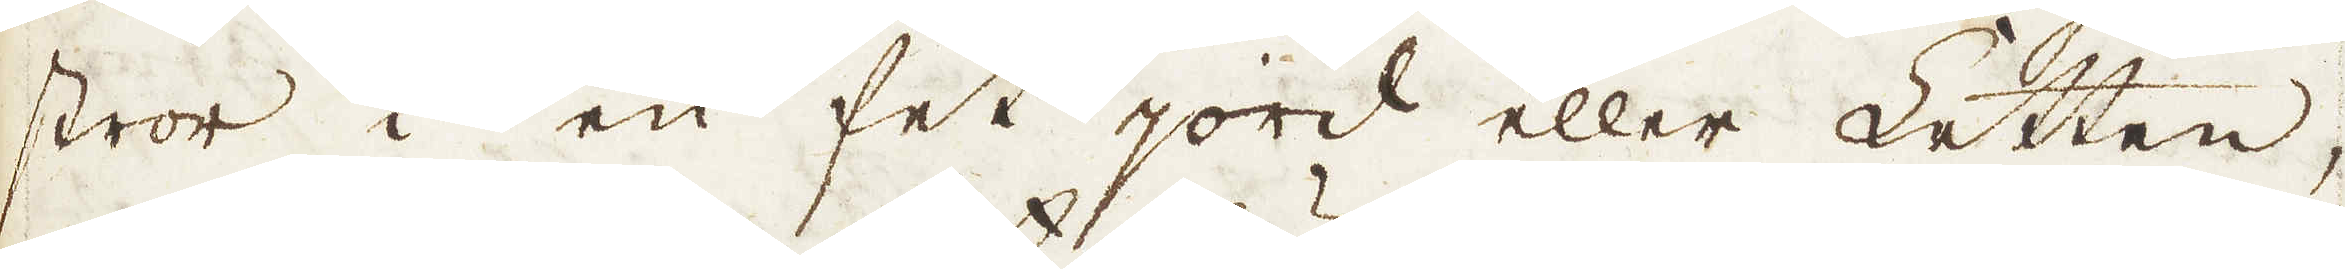stror i en fet jord eller Letten,
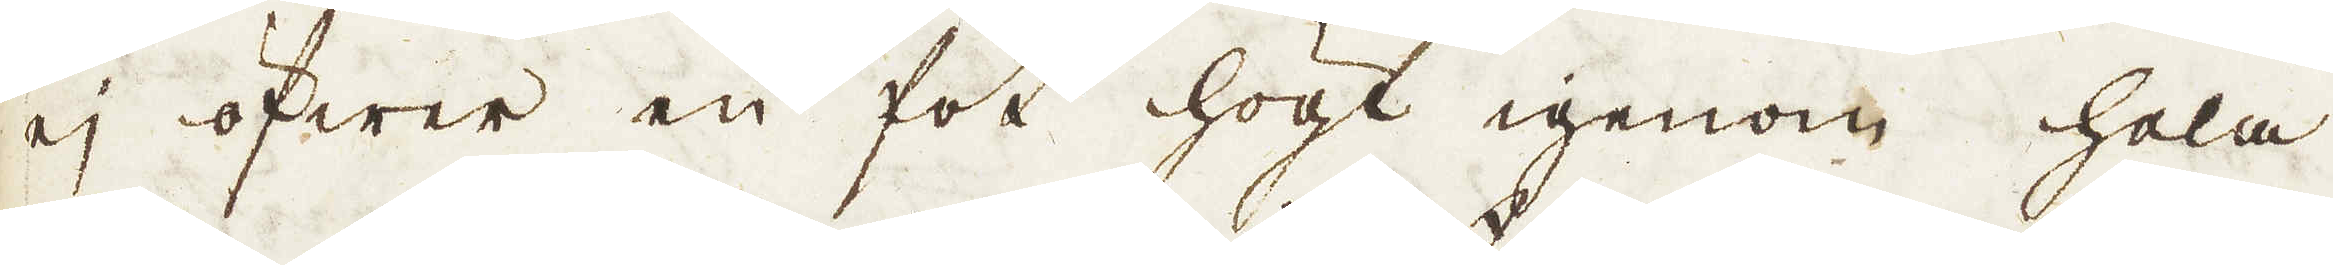ej öfwer en fot högt igenom hela
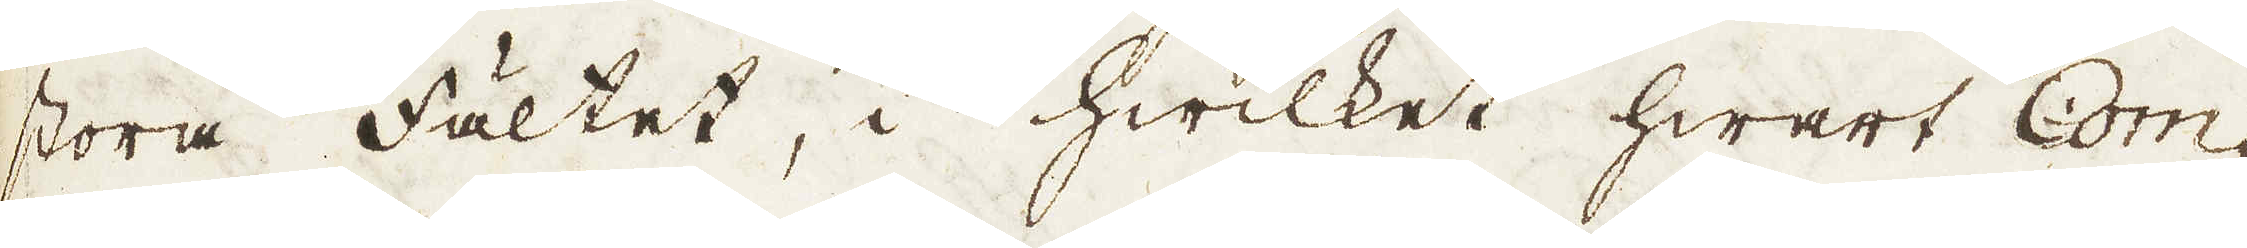stora Fältet, i hwilket hwart Com-
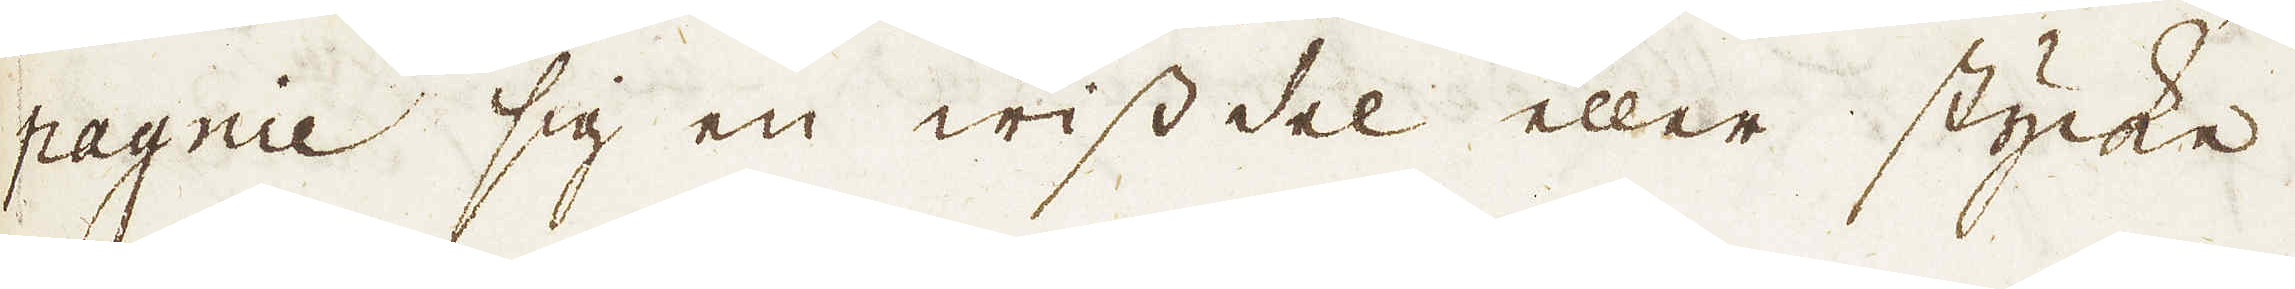pagnie sig en wiss del eller stycke
